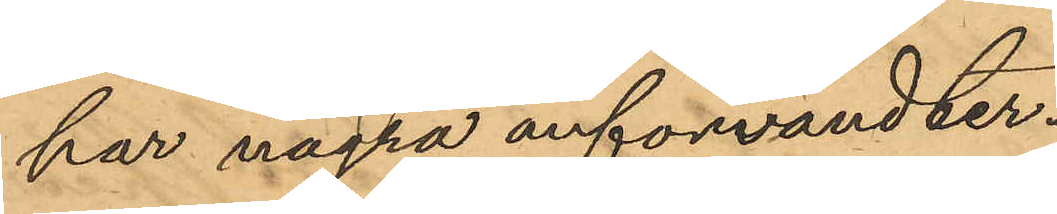har några anförvandter.
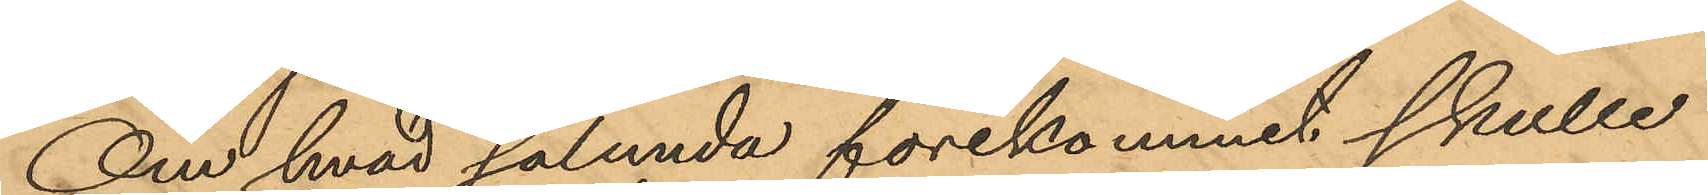Om hvad sålunda förekommit skulle
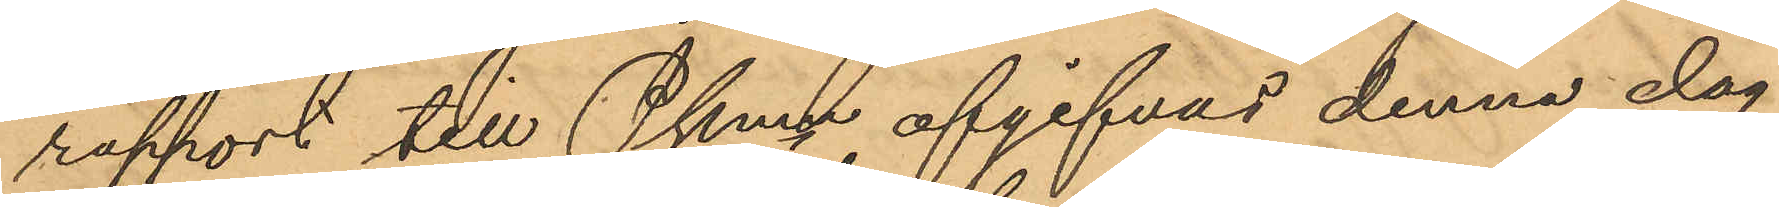rapport till Pkmn afgifvas denna dag
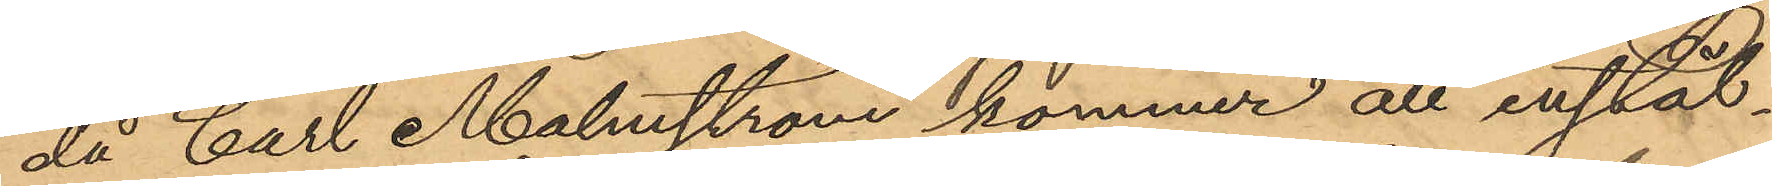då Carl Malmström kommer att instäl¬
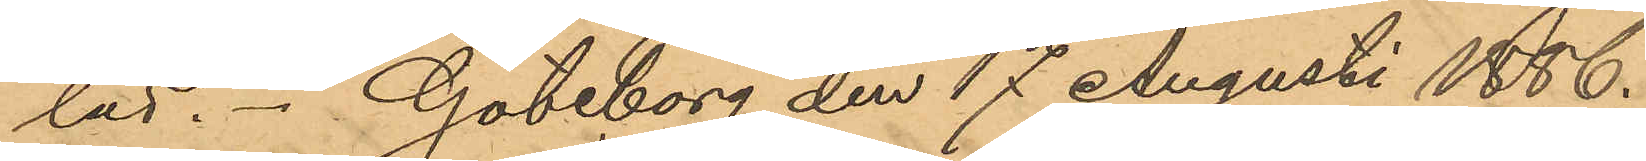las. Göteborg den 17 Augusti 1886.
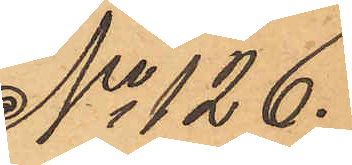No 126.
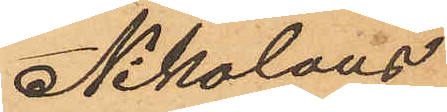Nikolaus
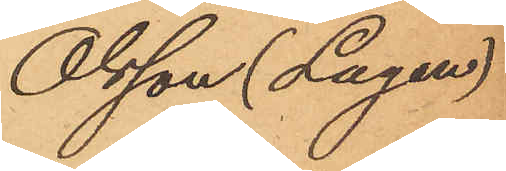Olsson (Lagen)
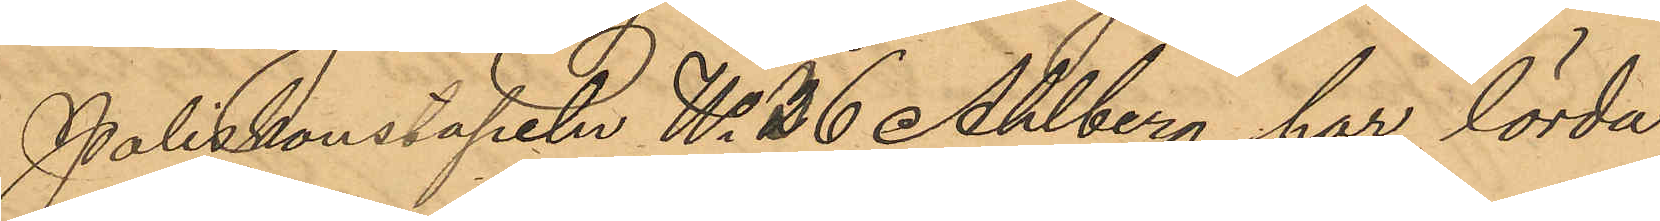Poliskonstapeln No 36 Ahlberg har lörda¬
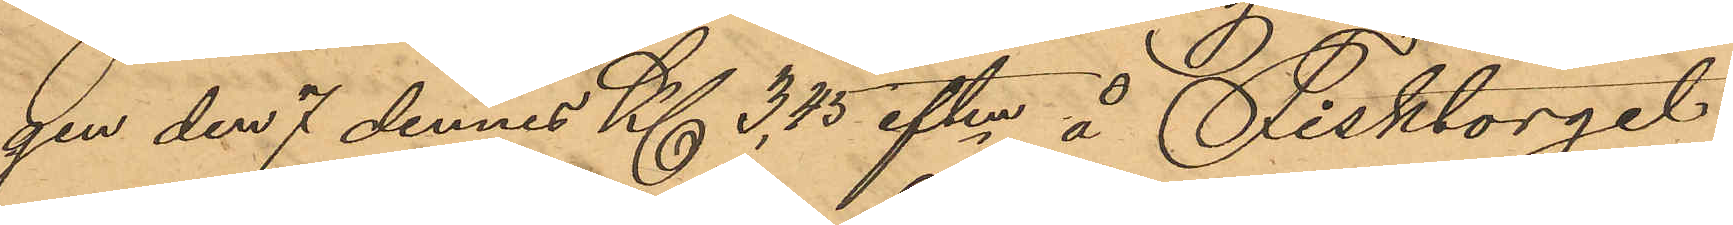gen den 7 dennes Kl 3,45 eftm å Fisktorget
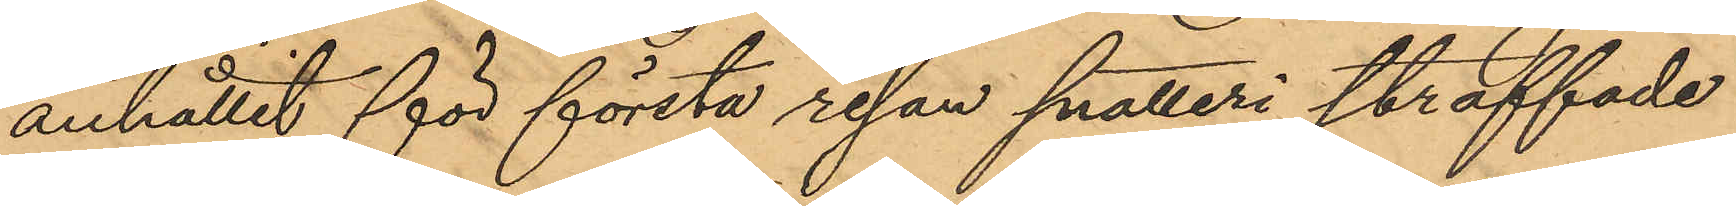anhållit för första resan snatteri straffade
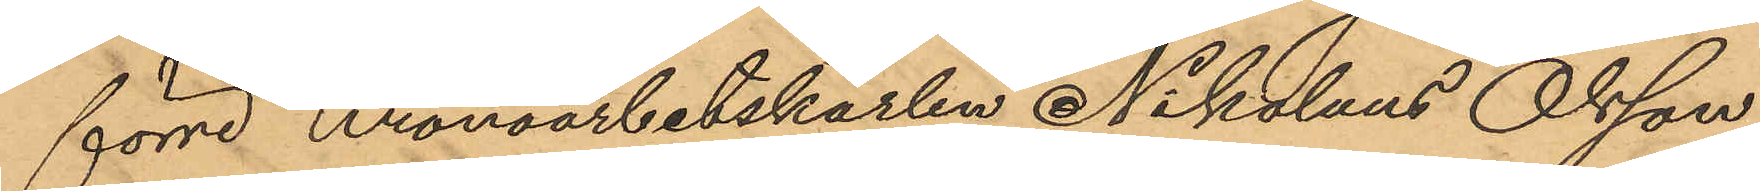förre Kronoarbetskarlen Nikolaus Olsson,
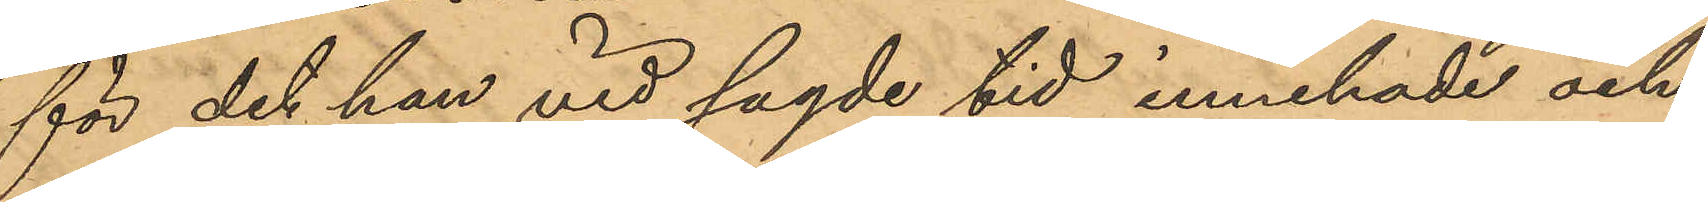för det han vid sagde tid innehade och
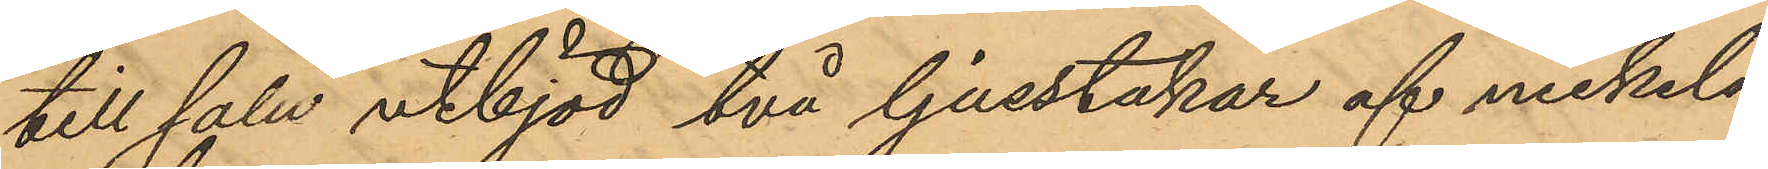till salu utbjöd två ljusstakar af nickel¬
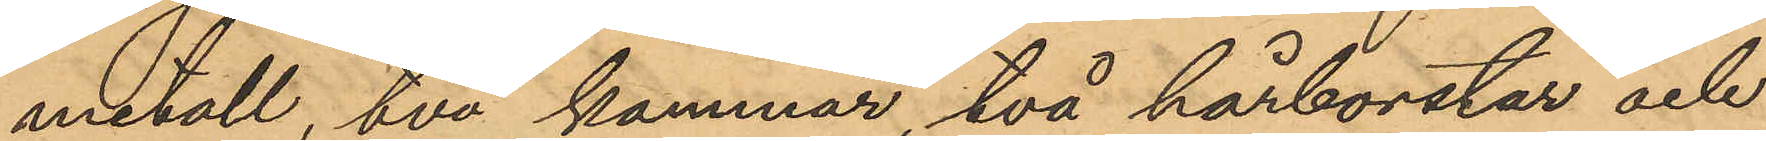metall, två kammar, två hårborstar och
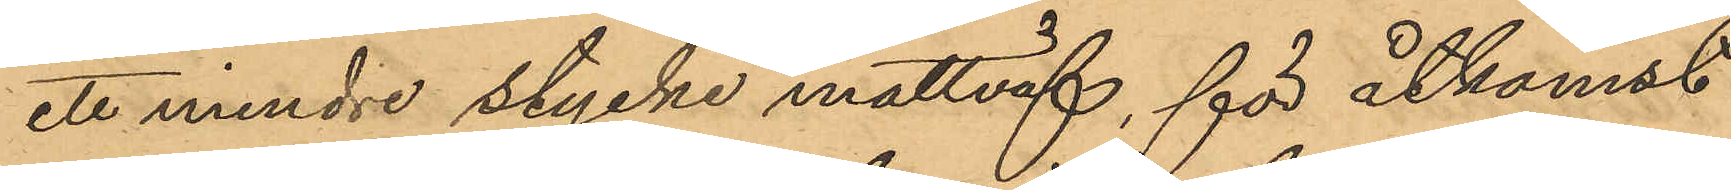ett mindre stycke mattväf, för åtkomst
